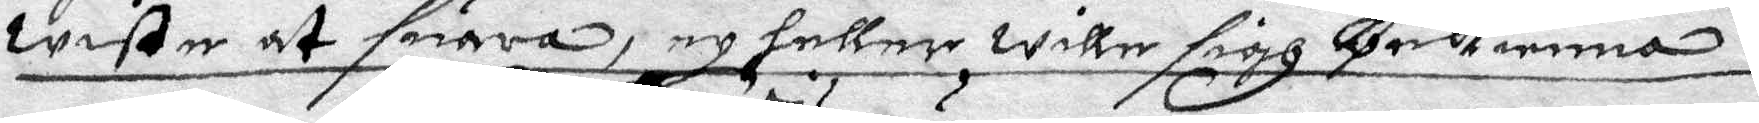wiste at suara, och heller wille sigh bekienna.
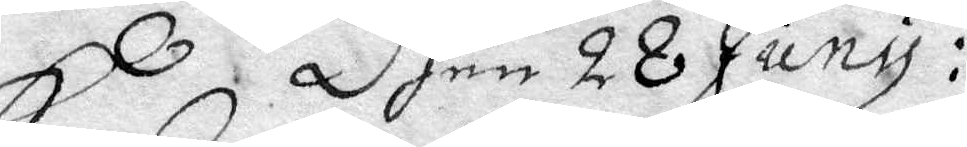Dhen 28 Juny:
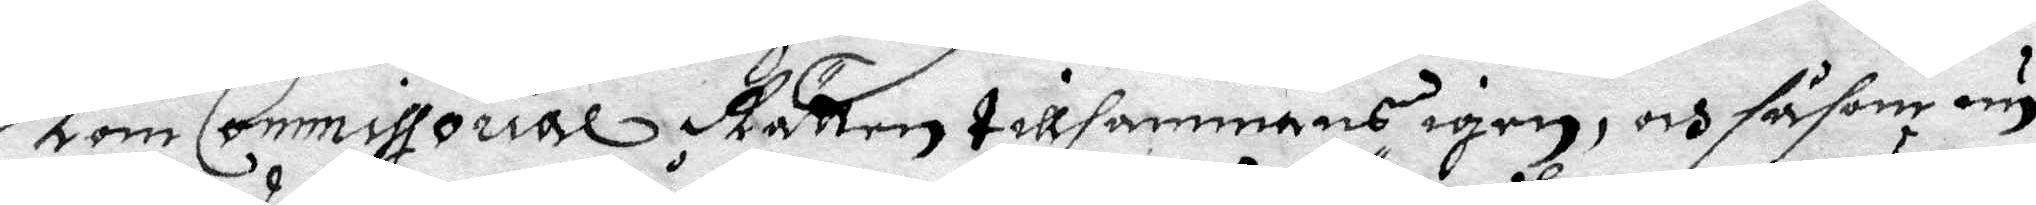Kom Commissorial Rätten tillsammans igen, och såsom nu
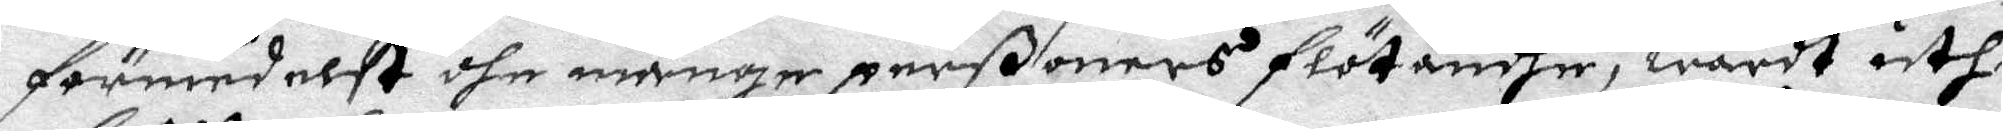förmedelst dhe månge perßoners flötandhe, warit uth¬
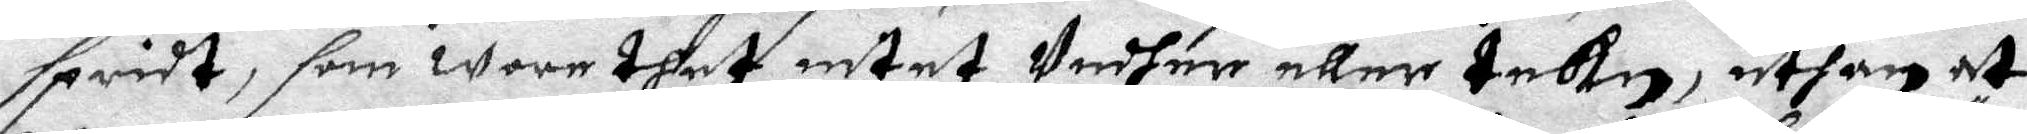spridt, som wore dhet intet Undher eller tekn, uthan at
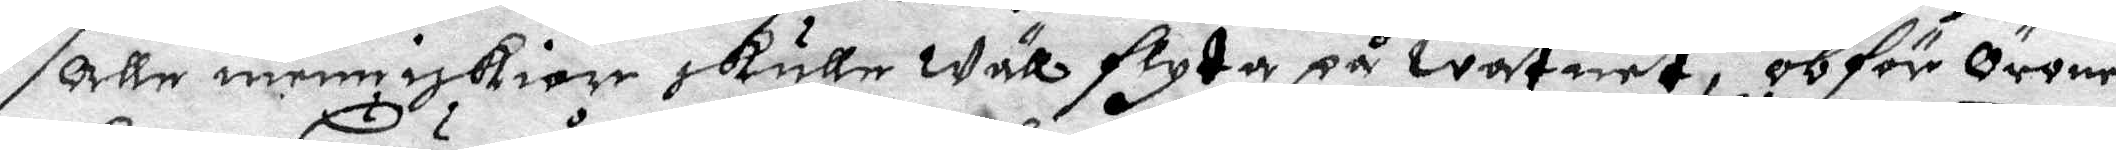Alle menniskior skulle wäll flyta på watnet, obför Öronen
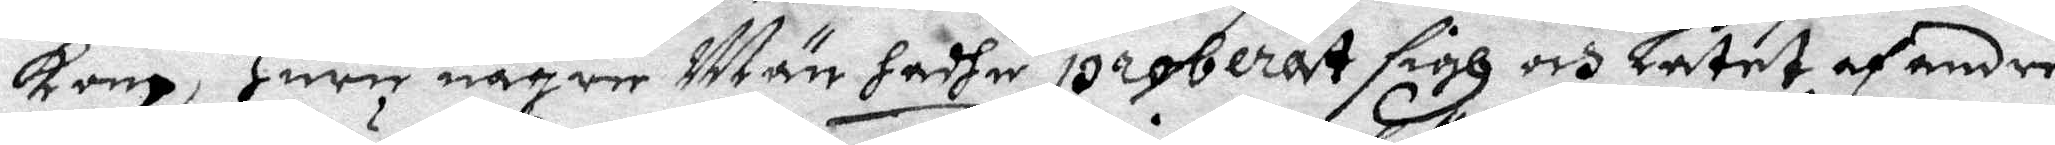kom, Huru någre Män hadhe proberat sigh och låtet af andre
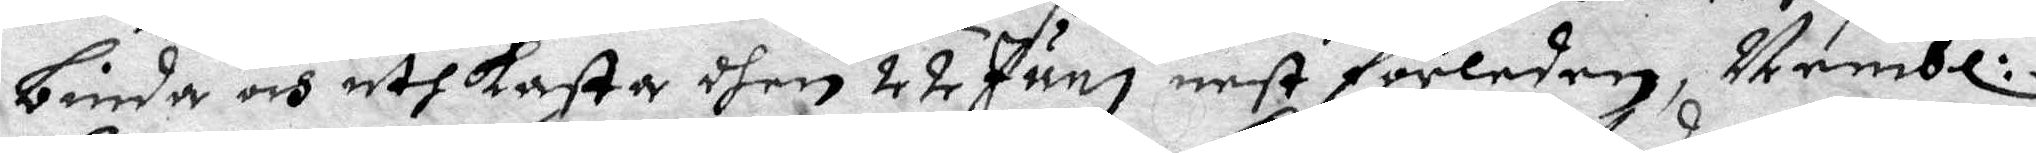binda och uthkasta dhen 22 Juni nest förleden, Nembl:
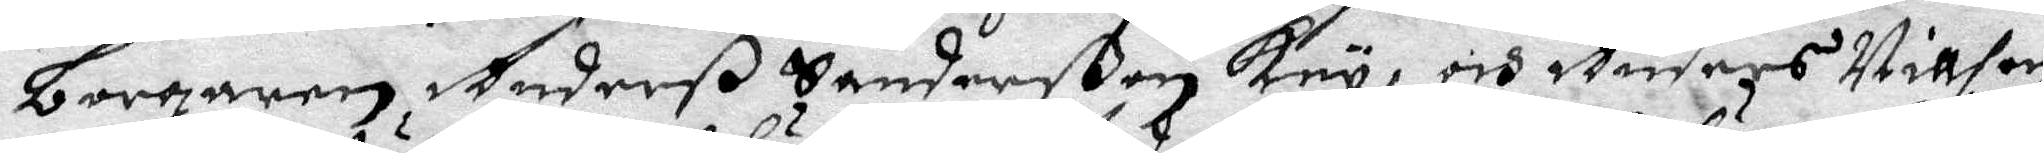borgaren Anderß Sanderßon Kry, och Anders Nillson
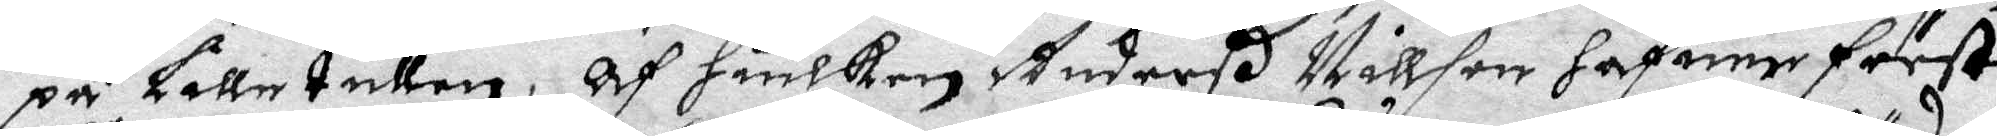på Lille tullen, Af huilken Anderß Nillson hafuer först
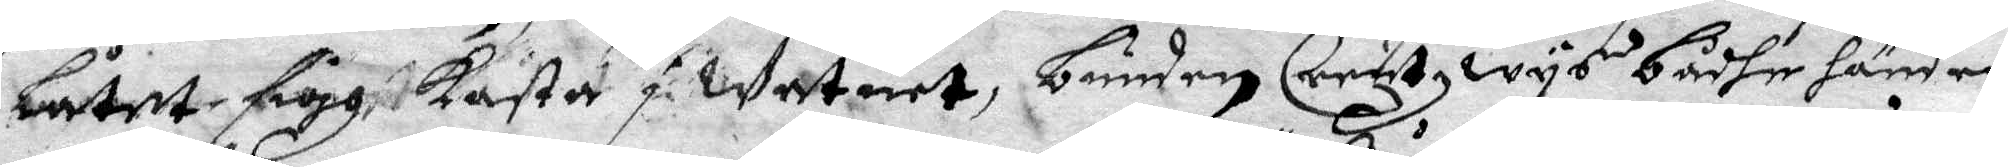låtet sigh kasta i warnet, bunden Creutz wys bådhe händer
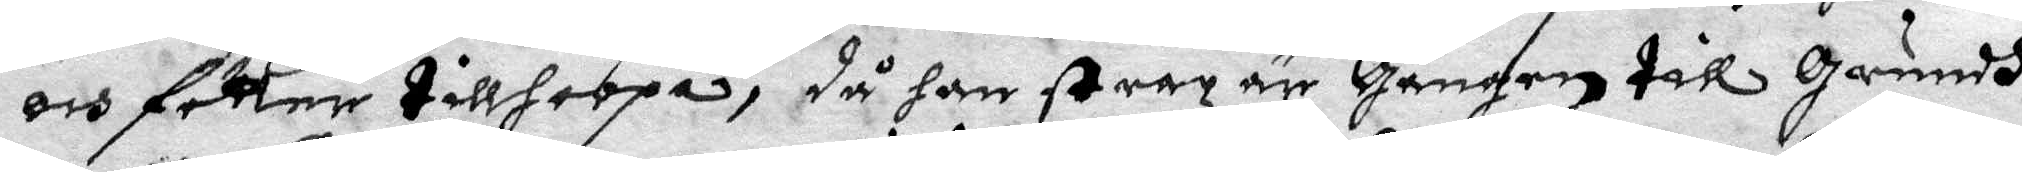och fötter tillhopa, så han strax är Gången till Grundh
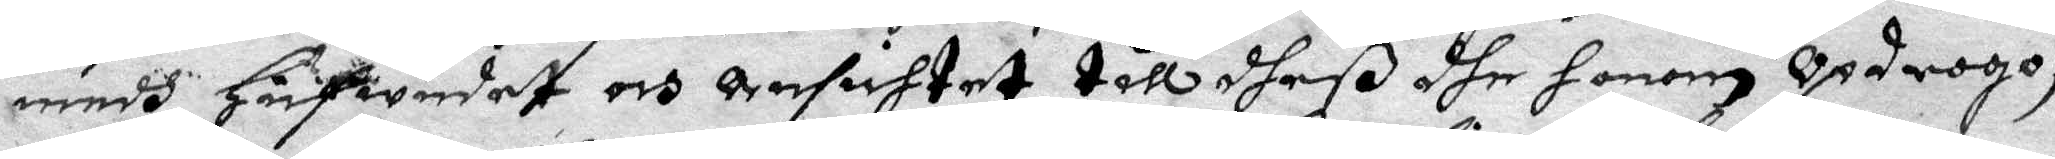medh hufwudet och ansichtet till dheß dhe honom Opdrogo;
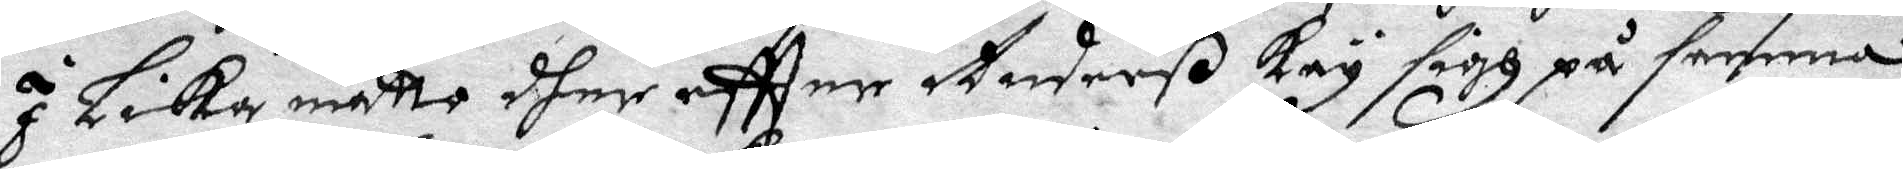I Lika måtto dher eftter Anderß Kry sigh på samma
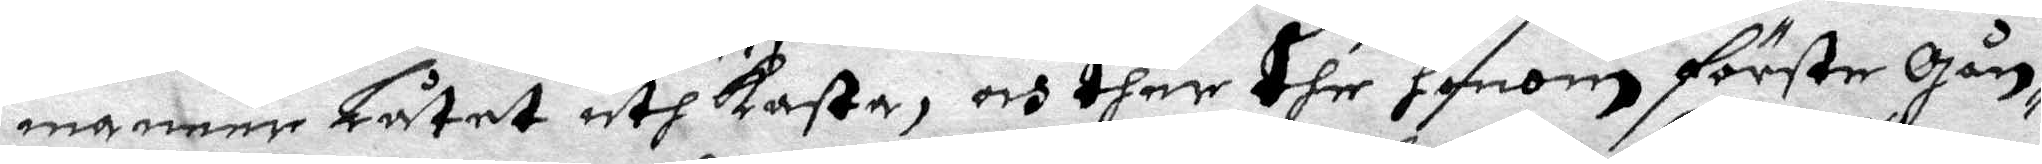manner Låtet uthkasta, och ther the honom förste Gån¬
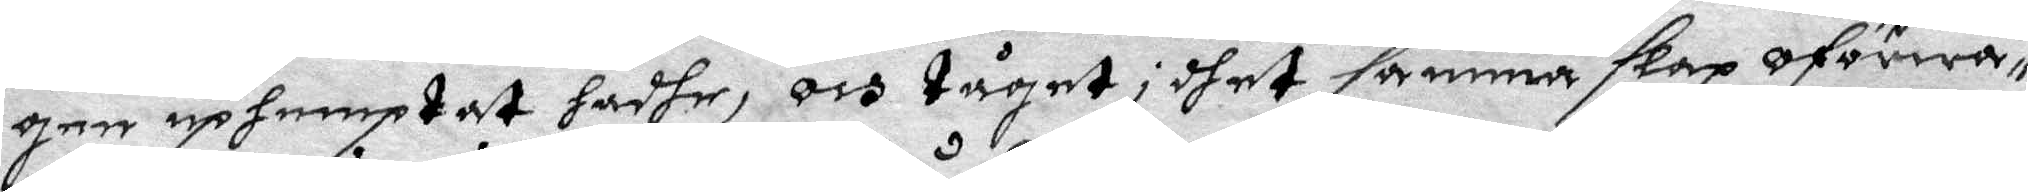gen uphemptat jadhe, och tåget i dhet samma slap oförwa¬
